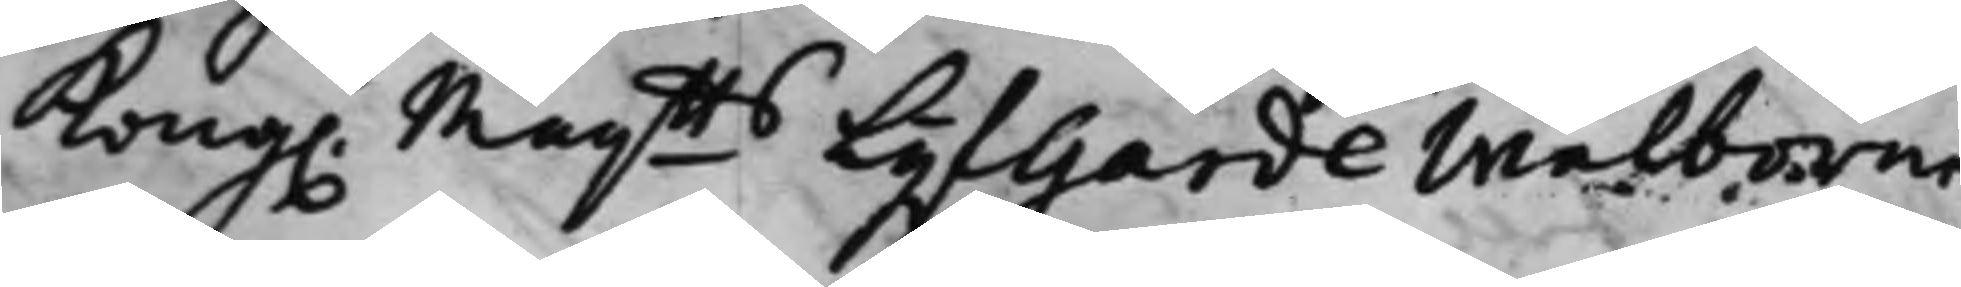Kong. Maijtts Lijfgarde Wälborne
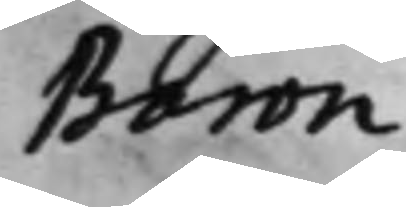Baron
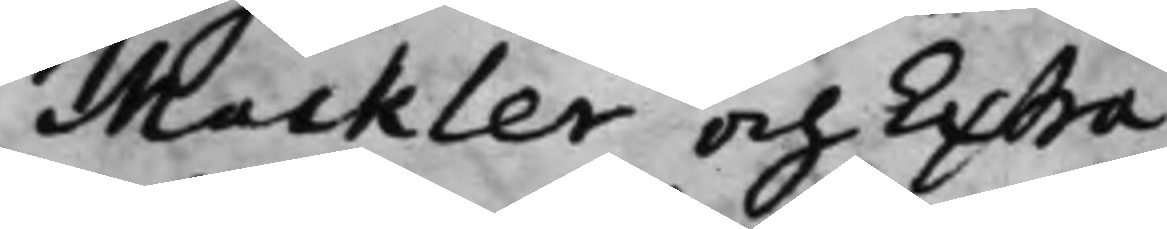Mackler och Extra¬
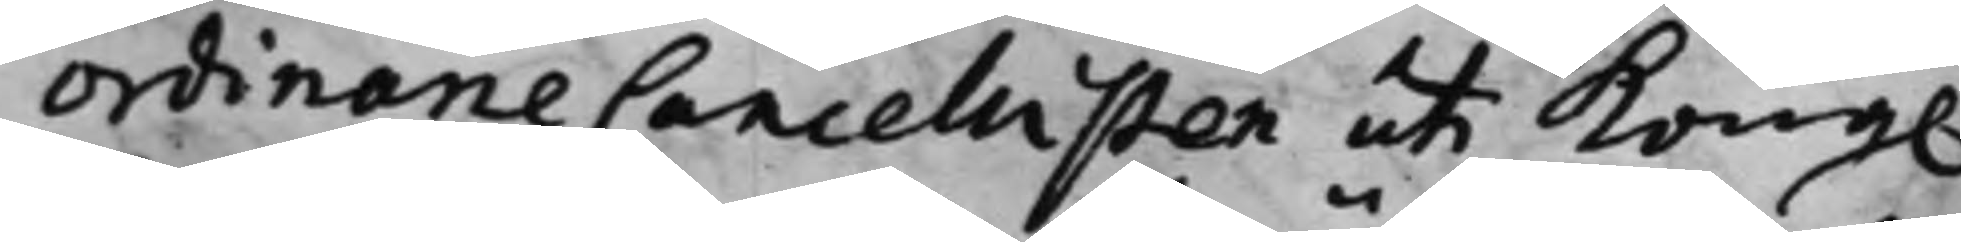ordinarie Cancellisten uti Kong.
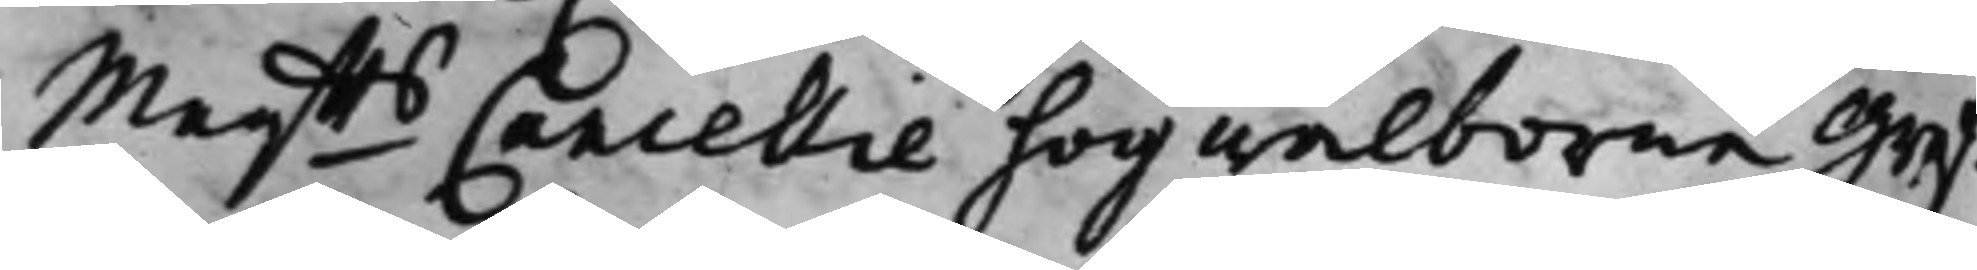Maijtts Cancellie högwälborne Gref¬
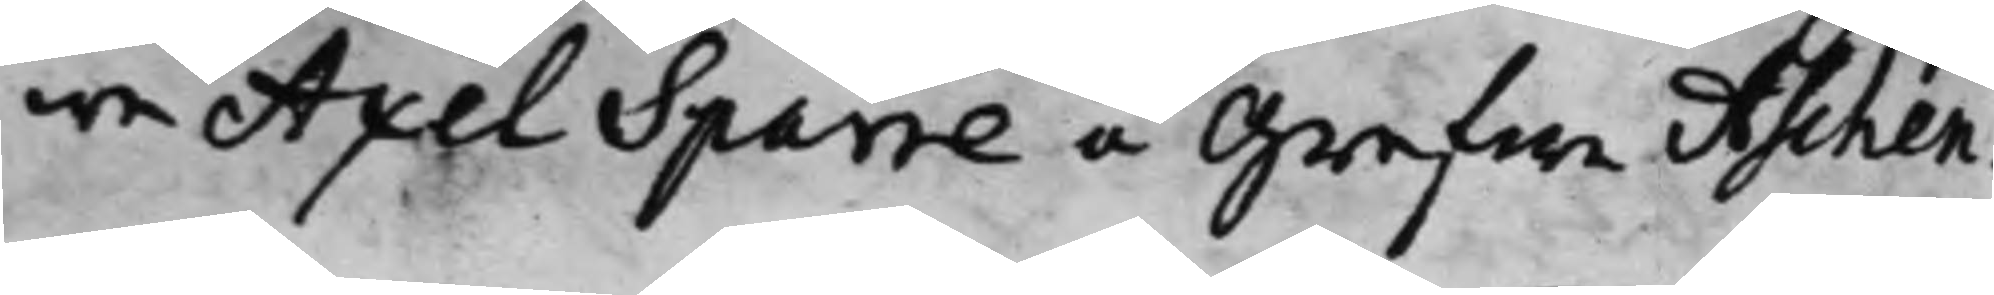we Axel Sparre å Grefwe Aschen¬
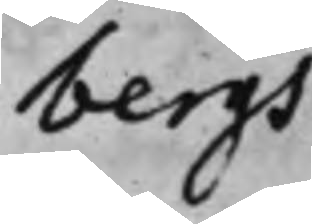bergs
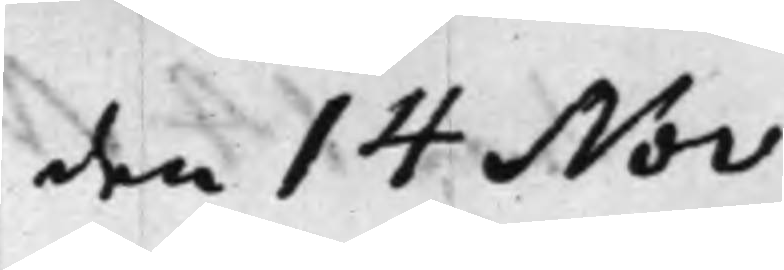den 14 Nov.
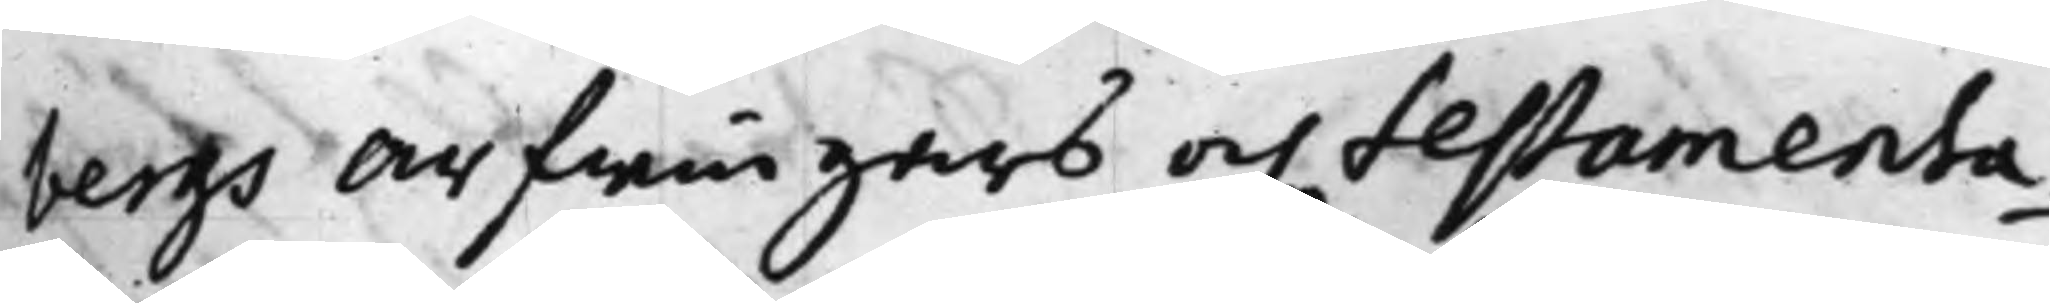bergs Arfwingars och testamenta¬
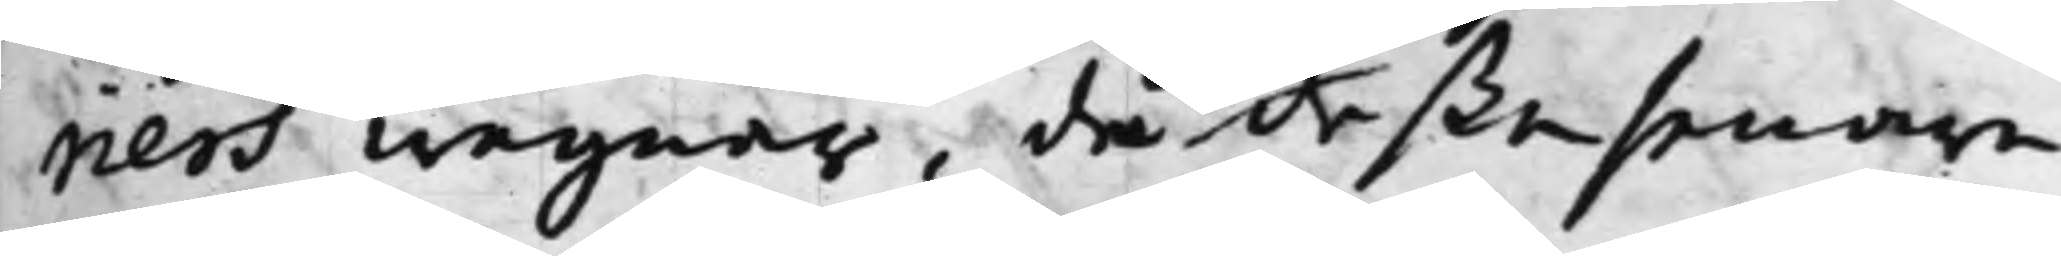riers wägnar, då deße senare
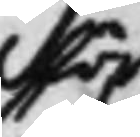för
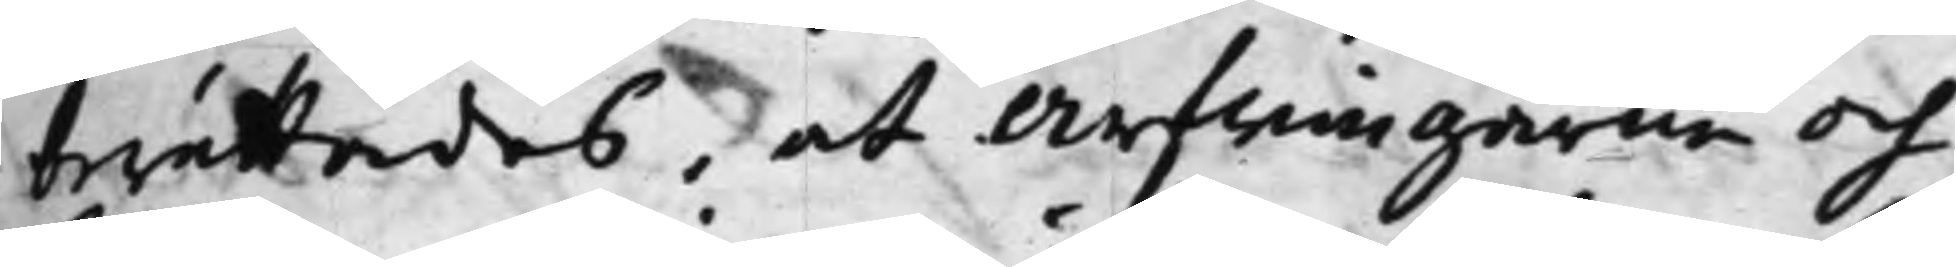berättades, at Arfwingarne och
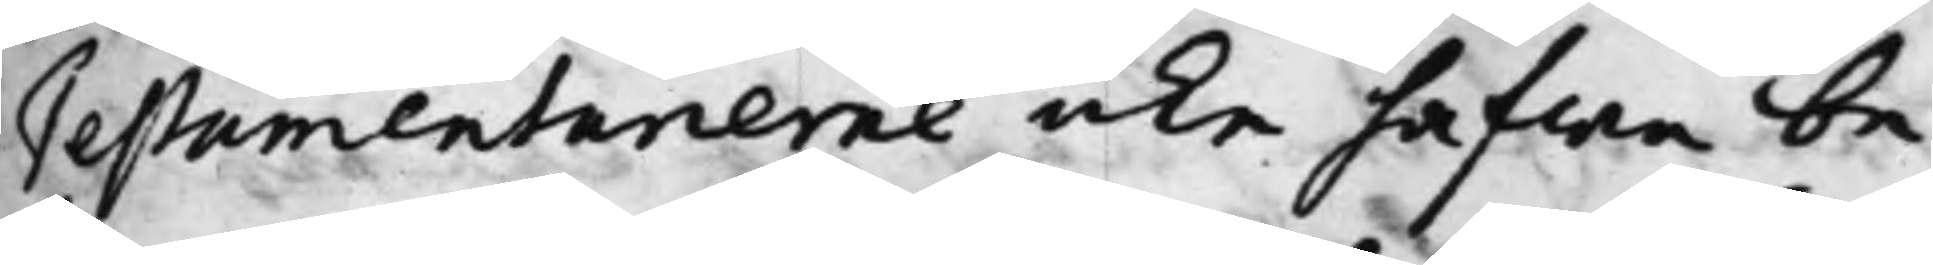Testamentarierne icke hafwa be¬
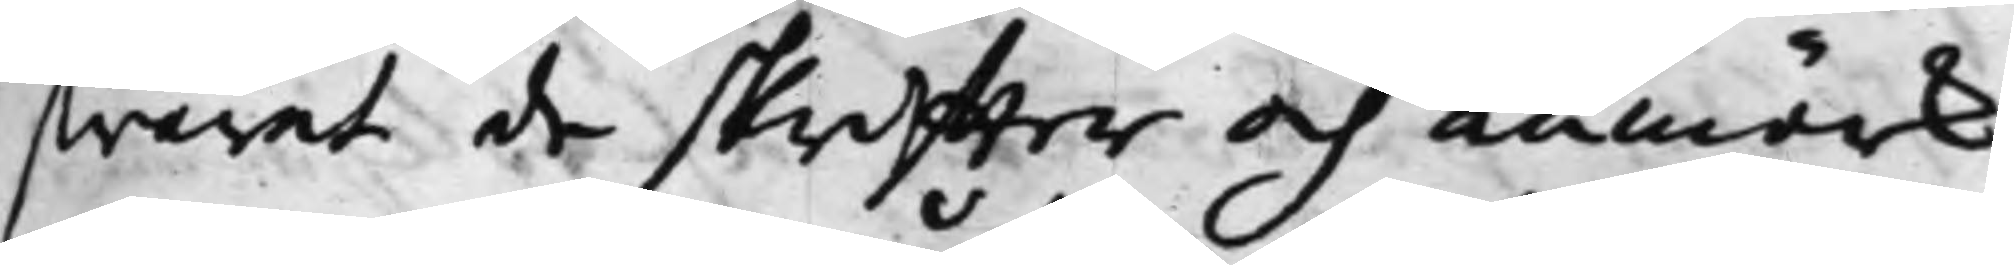swarat de skriffter och anmärk¬
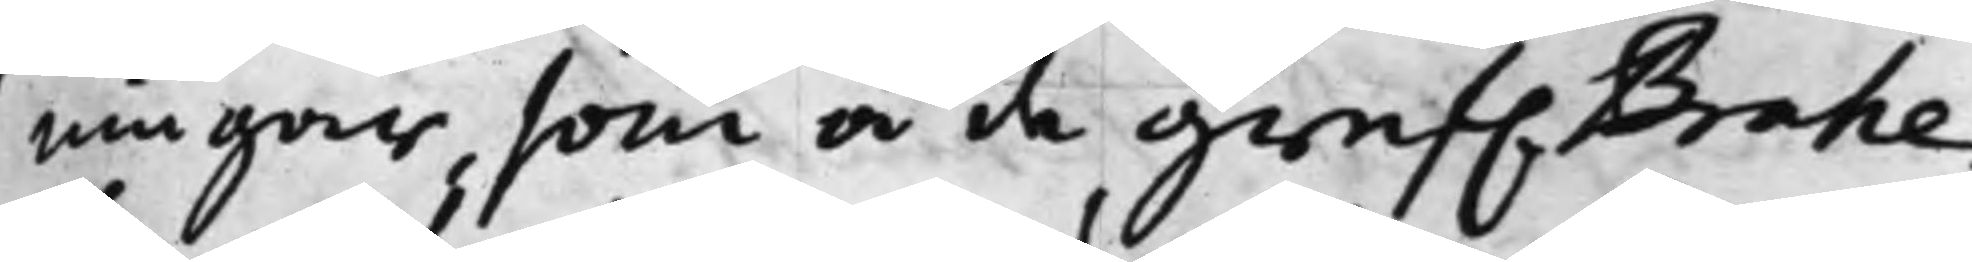ningar som å de Gref. Brahe¬
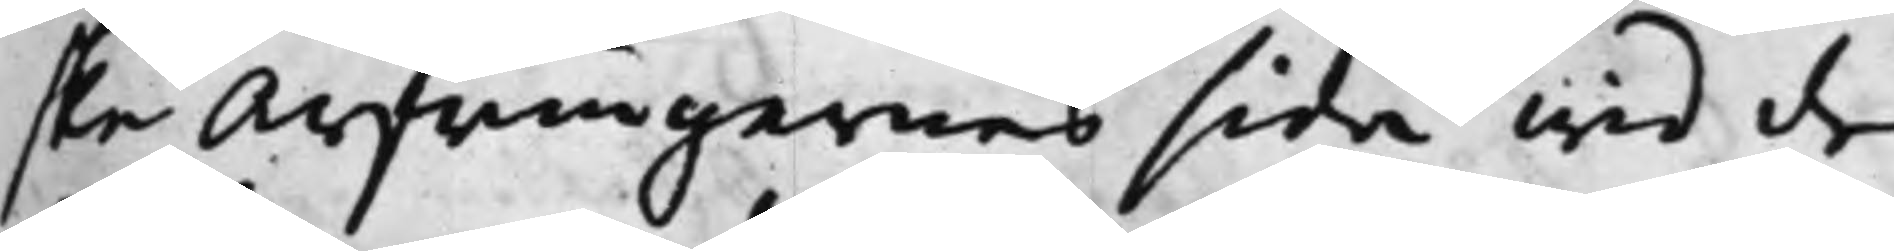ske Arfwingarnes sida wid de
